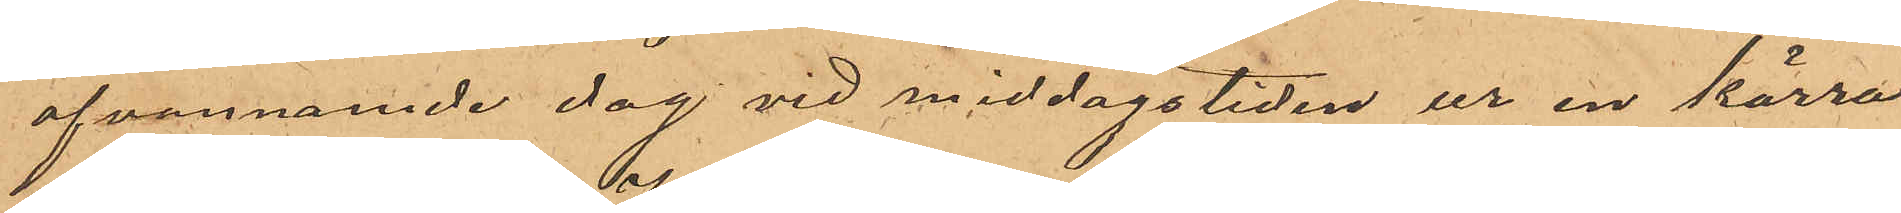ofvannämnde dag vid middagstiden ur en kärra
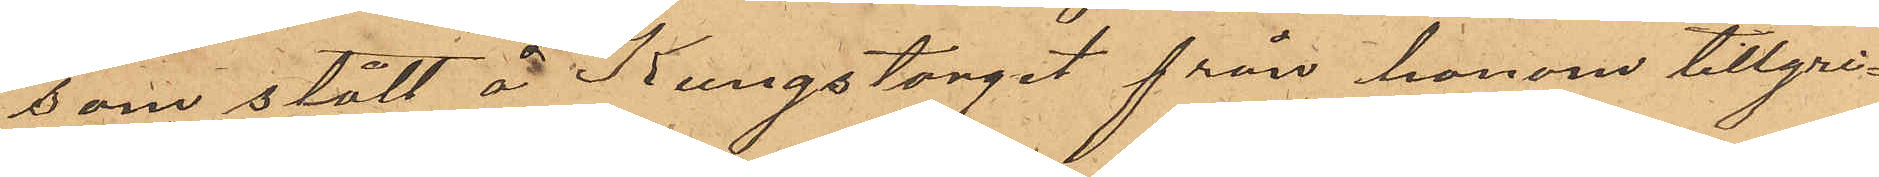som stått å Kungstorget från honom tillgri¬
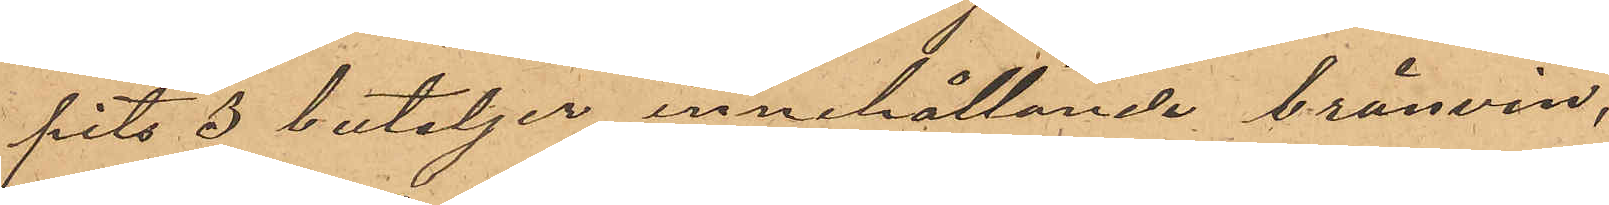pits 3 buteljer innehållande brännvin,
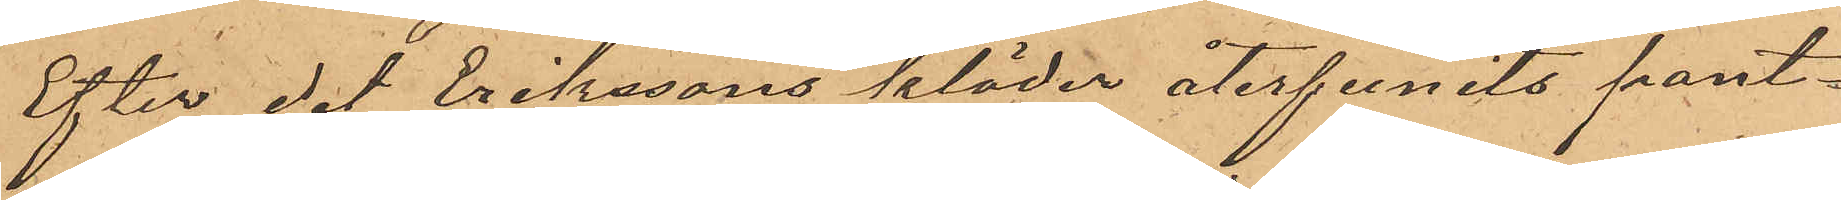Efter det Erikssons kläder återfunits pant¬
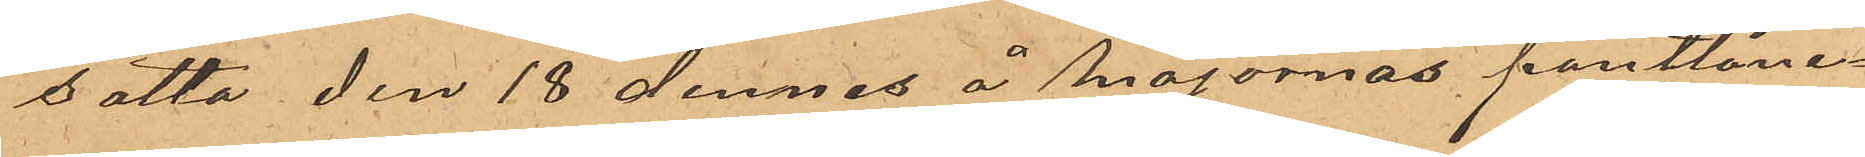satta den 18 dennes å Majornas pantlåne¬
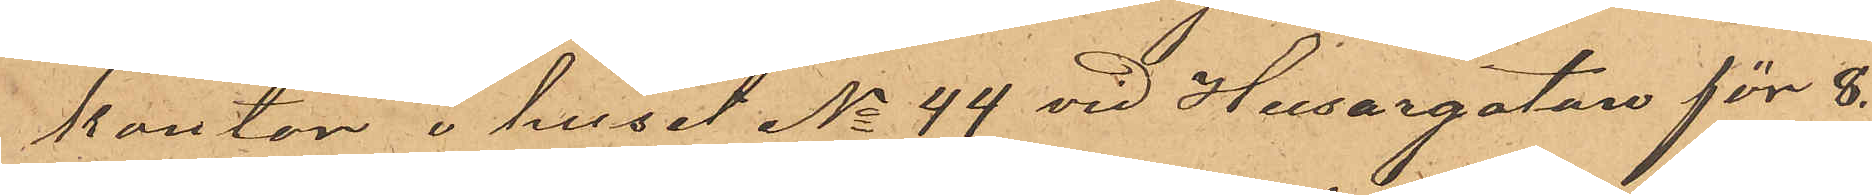kontor i huset No 44 vid Husargatan för 8.
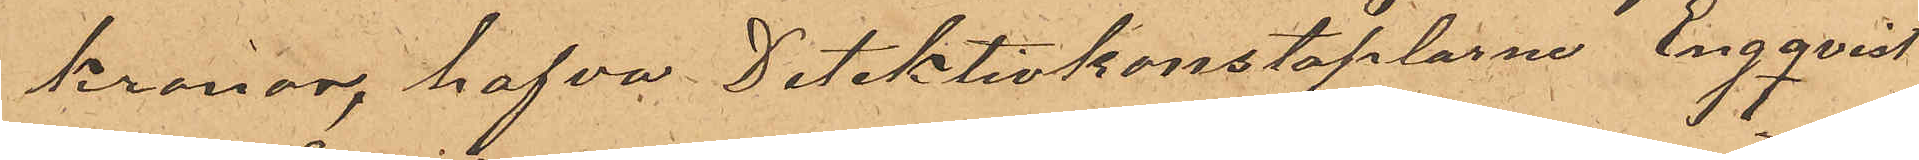kronor, hafva Detektivkonstaplarne Engqvist
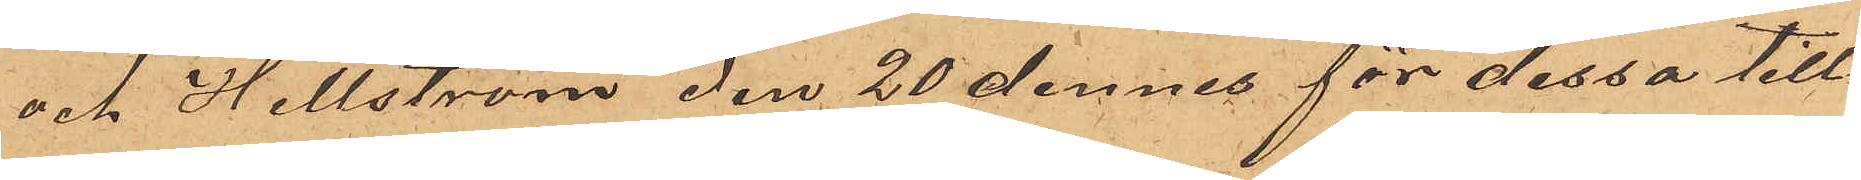och Hellström den 20 dennes för dessa till¬
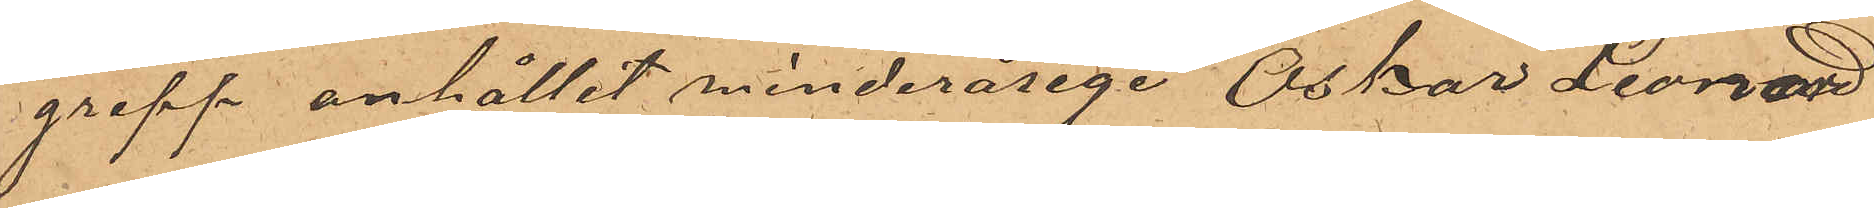grepp anhållit minderårige Oskar Leonard
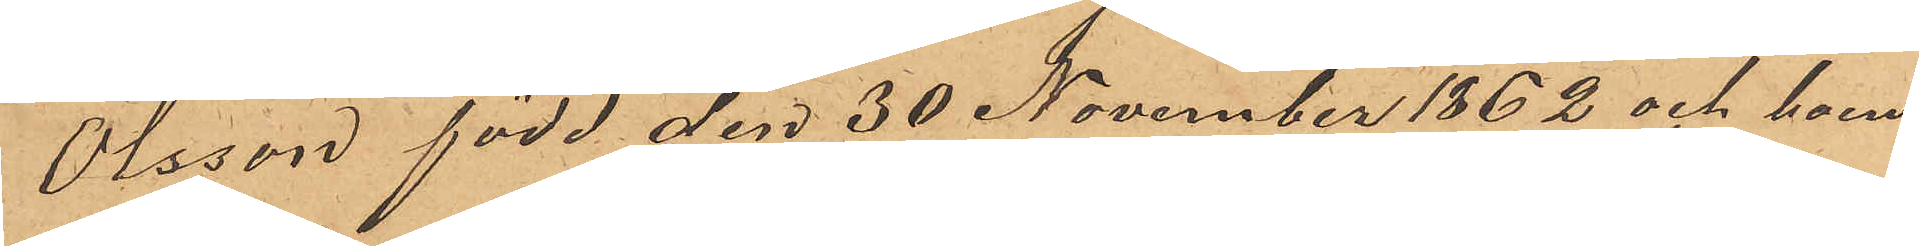Olsson, född den 30 November 1862 och boen¬
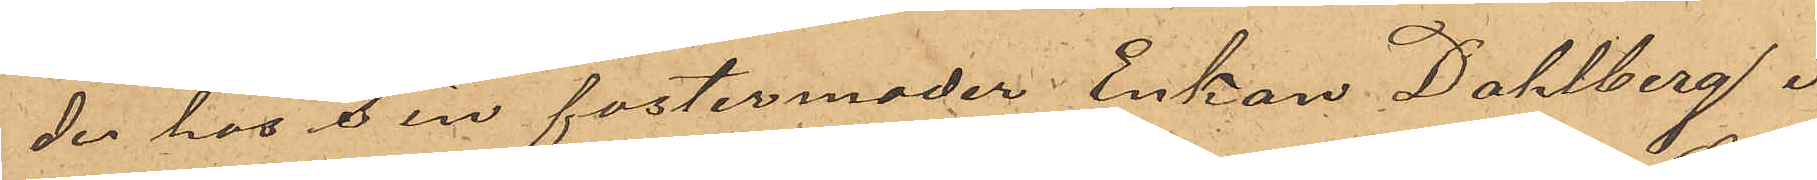der hos sin fostermoder Enkan Dahlberg i
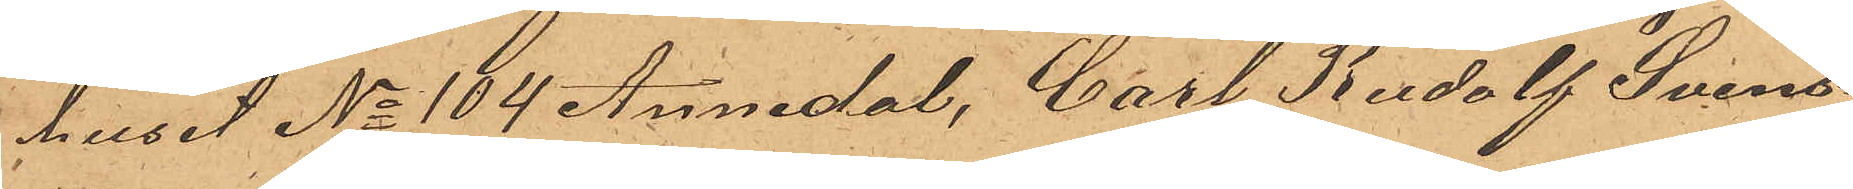huset No 104 Annedal, Carl Rudolf Svens¬
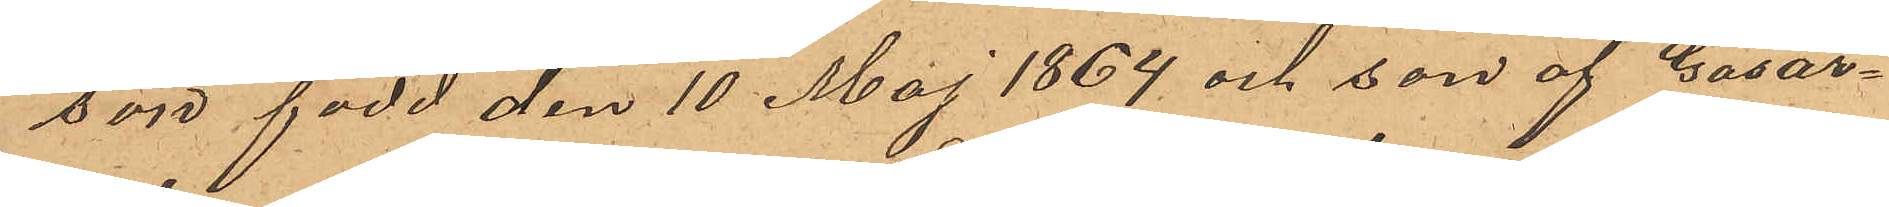son född den 10 Maj 1864 och son af Gasar¬
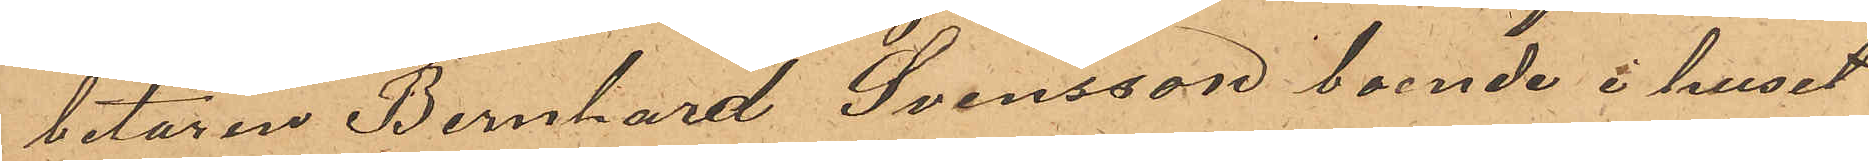betaren Bernhard Svensson, boende i huset
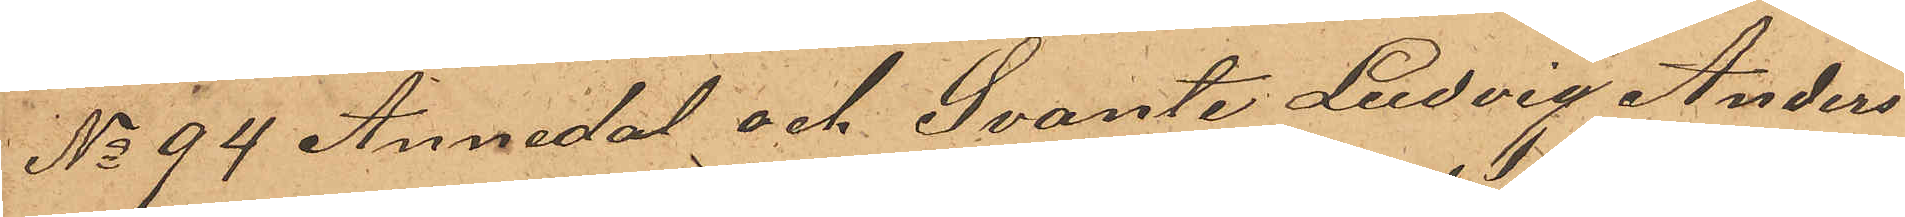No 94 Annedal och Svante Ludvig Anders¬
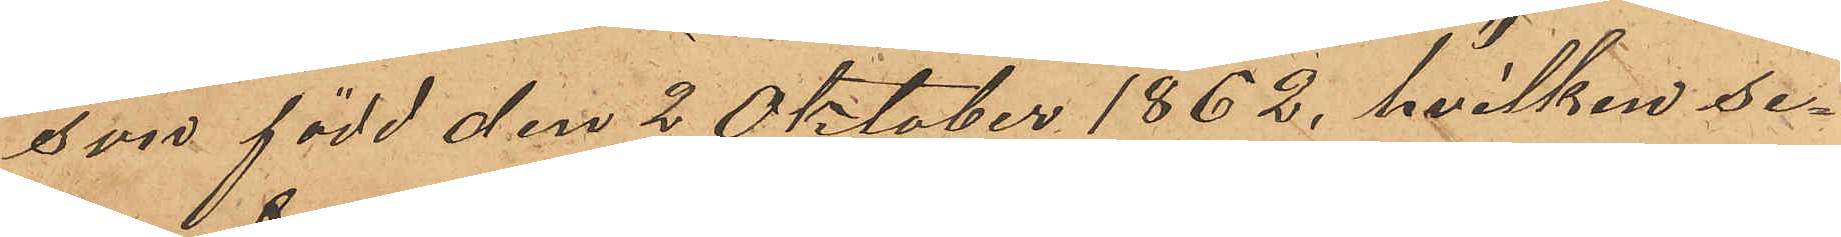sor född den 2 Oktober 1862, hvilken se¬
